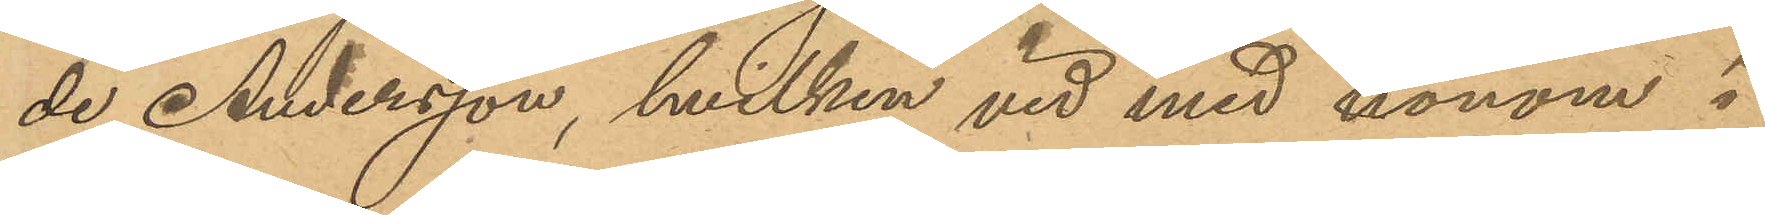de Andersson, hvilken vid med honom i
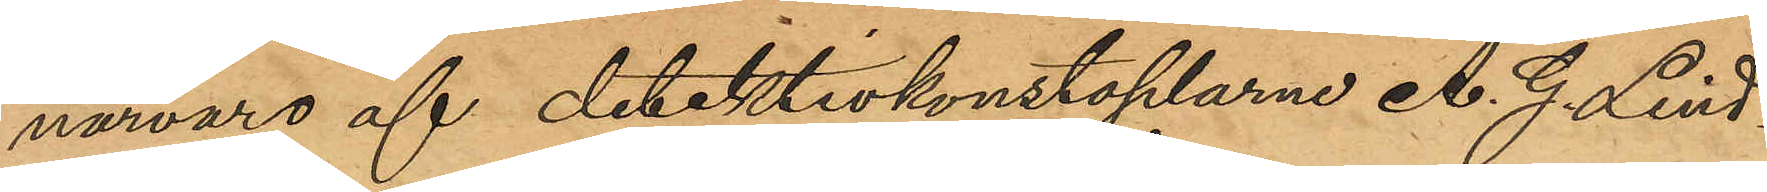närvaro af detektivkonstaplarna A. G. Lind¬
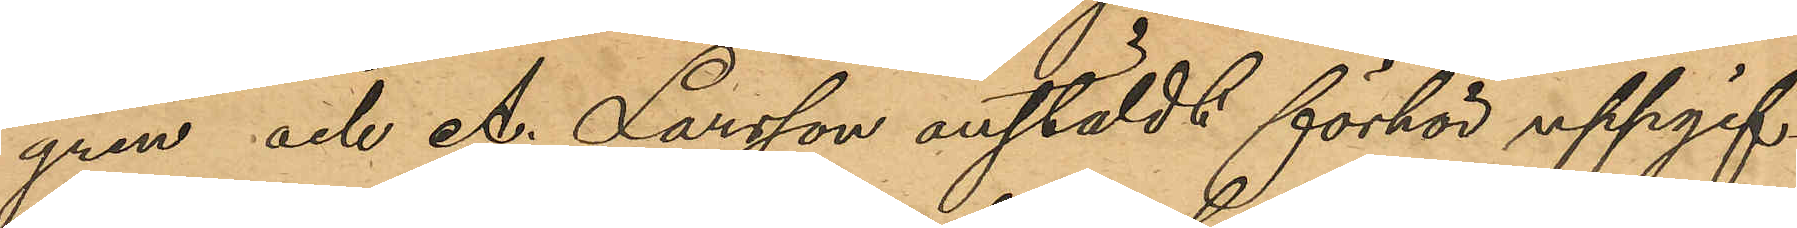gren och A. Larsson anstäldt förhör uppgif¬
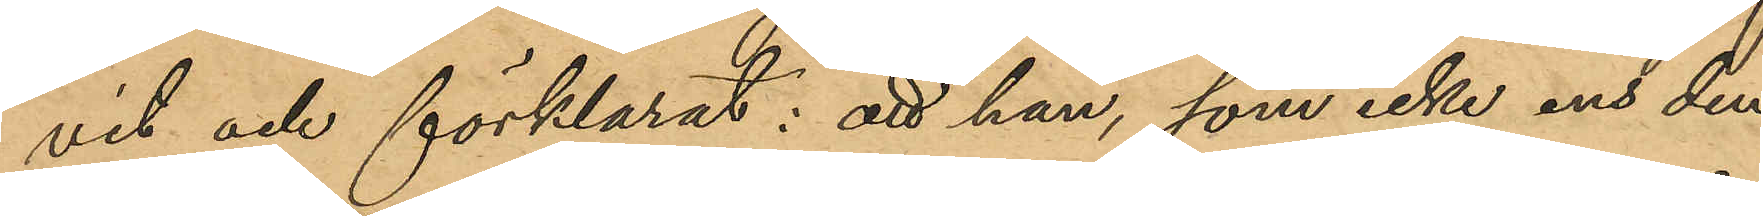vit och förklarat; att han, som icke ens den 
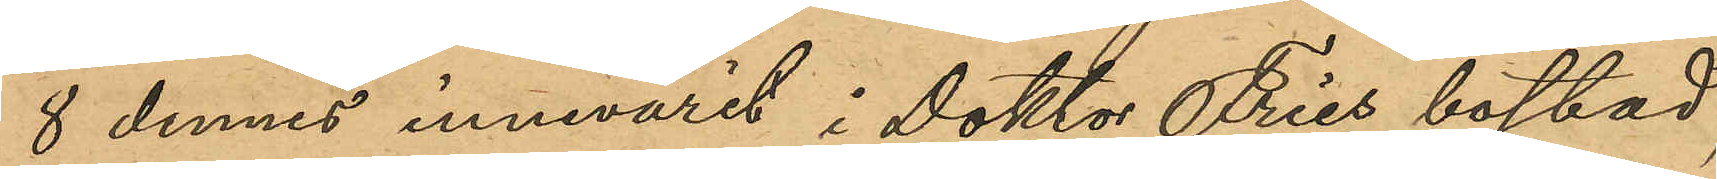8 dennes innevarit i Doktor Fries bostad,
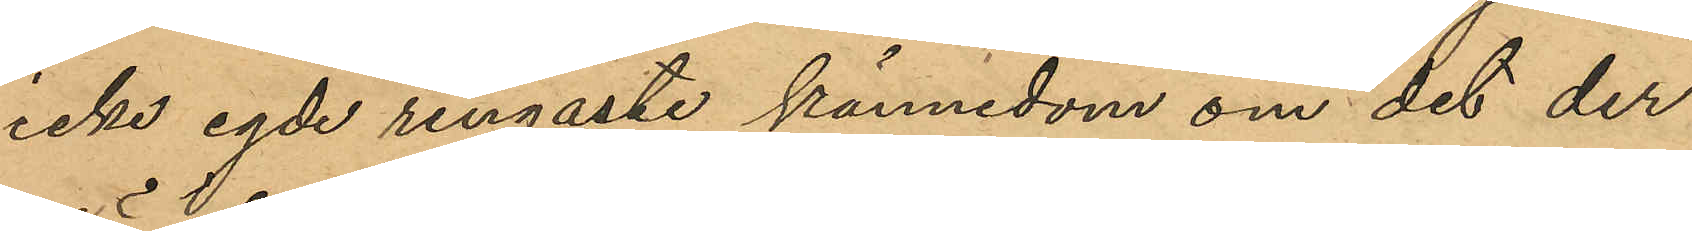icke egde ringaste kännedom om det der 
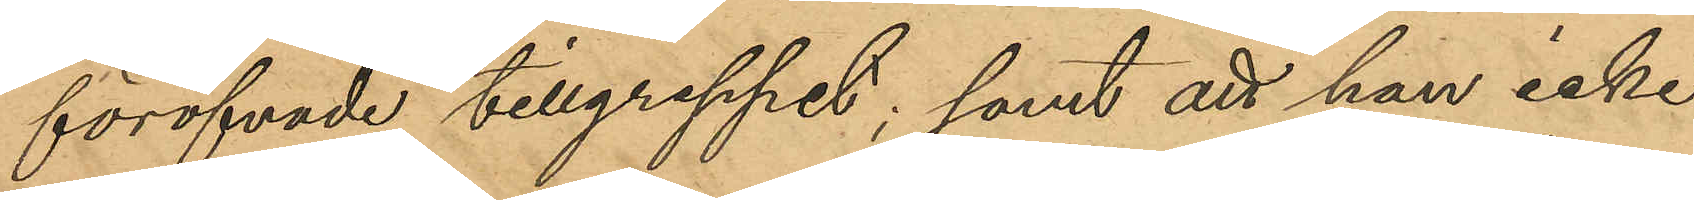föröfvade tillgreppet; samt att han icke
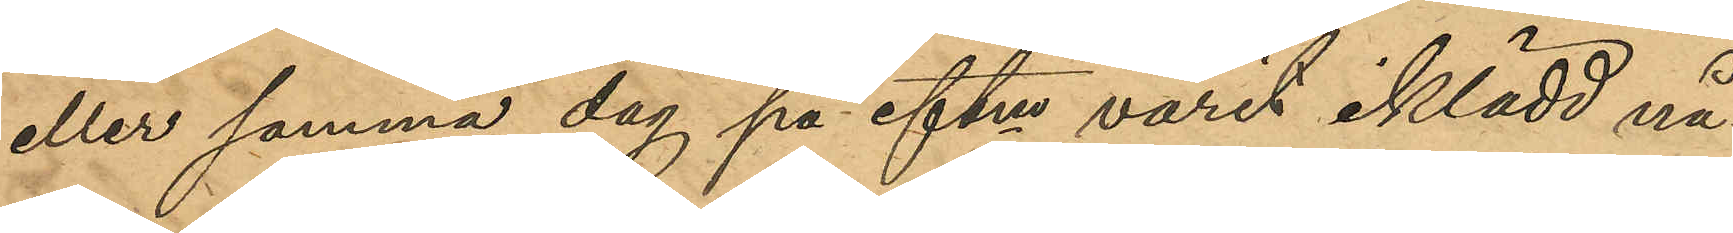eller samma dag på eftm varit iklädd nå¬
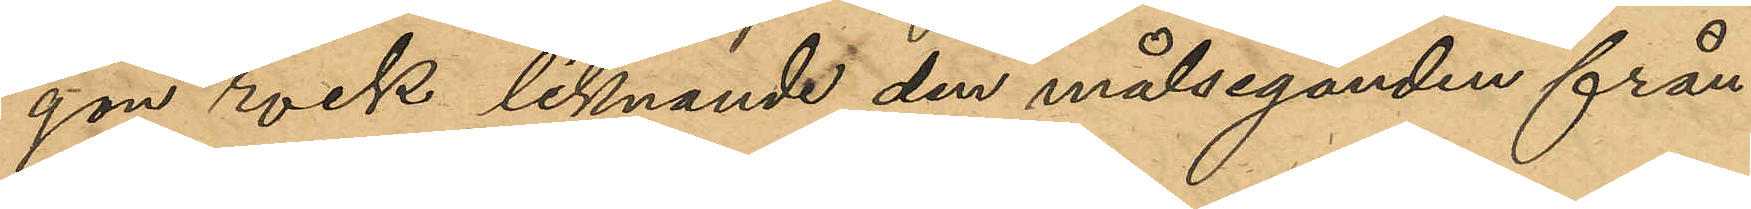gon rock liknande den målseganden från¬
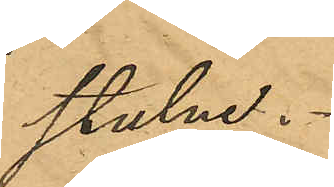stulne.
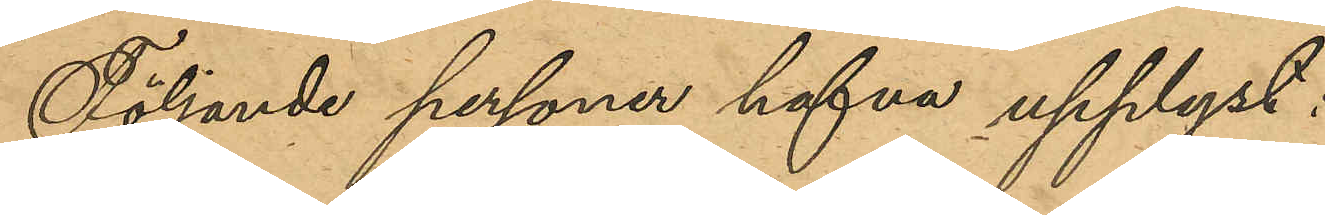Följande personer hafva upplyst:
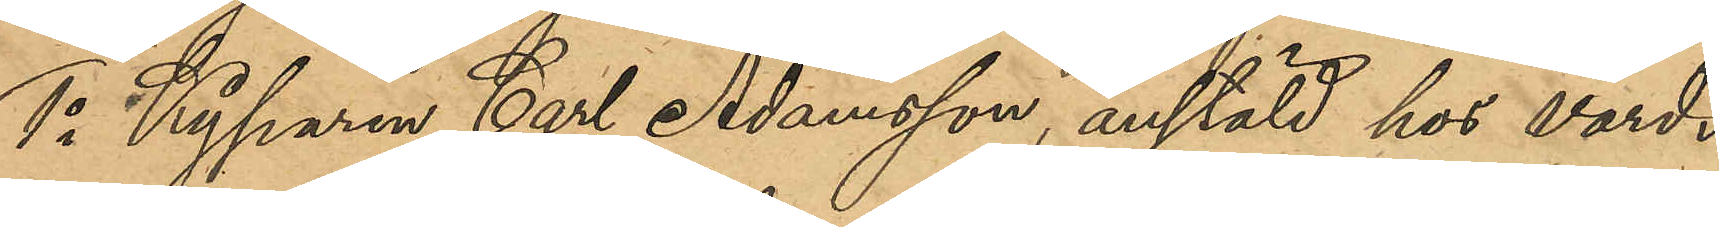1o Kyparen Carl Adamsson, anstäld hos värds¬
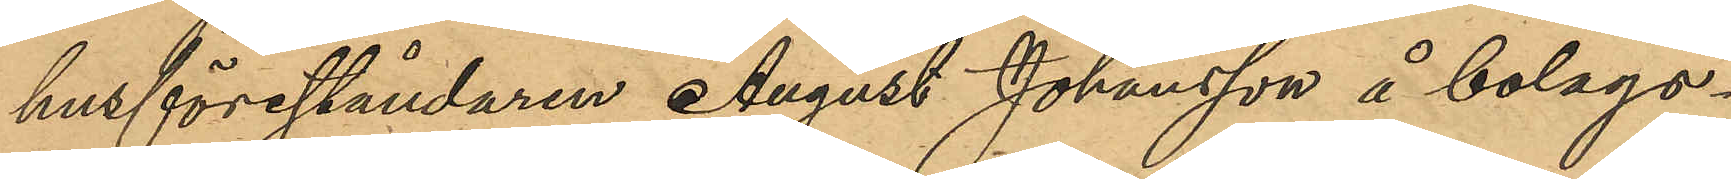husföreståndaren August Johansson å bolags¬
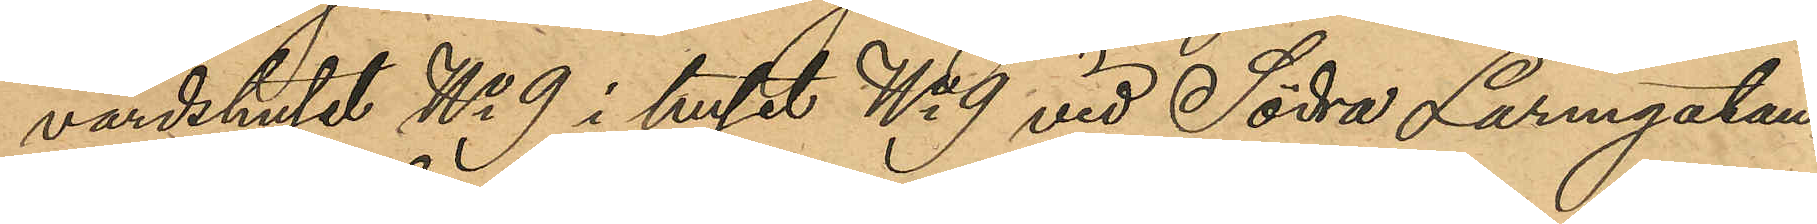värdshuset No 9 i huset No 9 vid Södra Larmgatan;
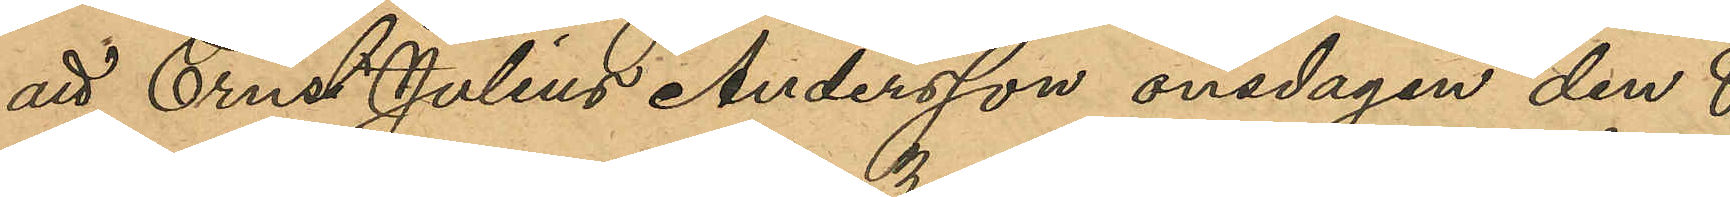att Ernst Julius Andersson onsdagen den 8
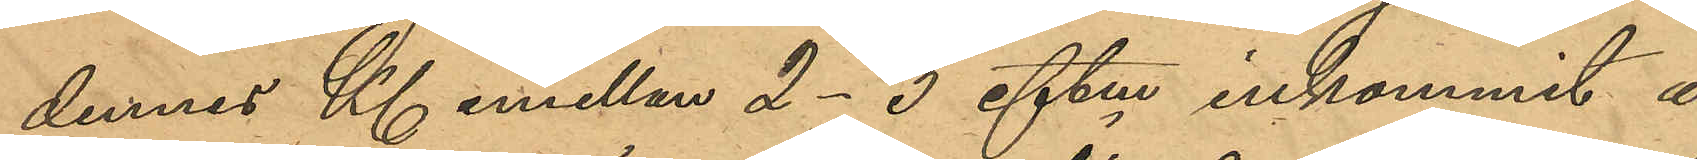dennes Kl emellan 2-3 eftm inkommit å
